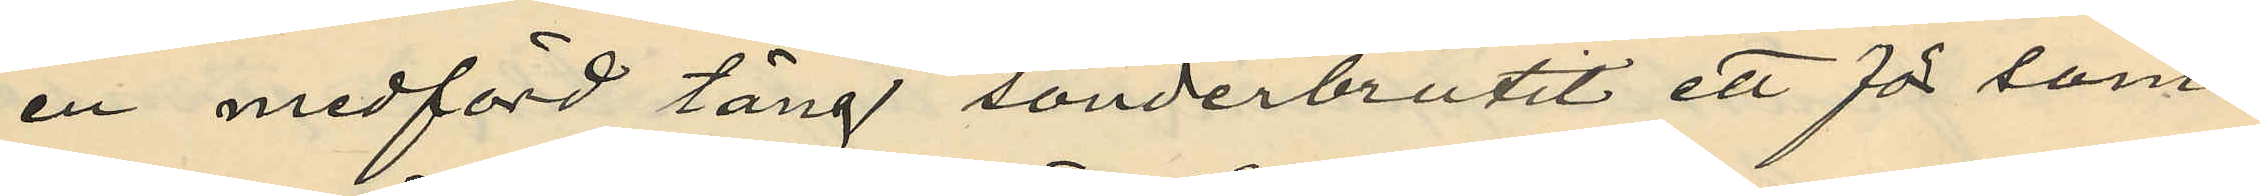en medförd tång sönderbrutit ett för sam¬
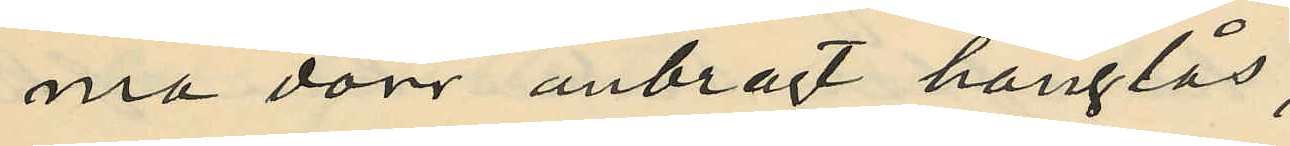ma dörr anbragt hänglås,
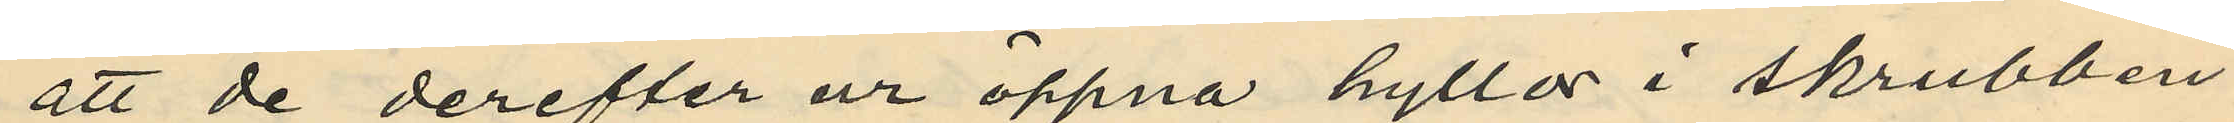att de derefter ur öppna hyllor i skrubben
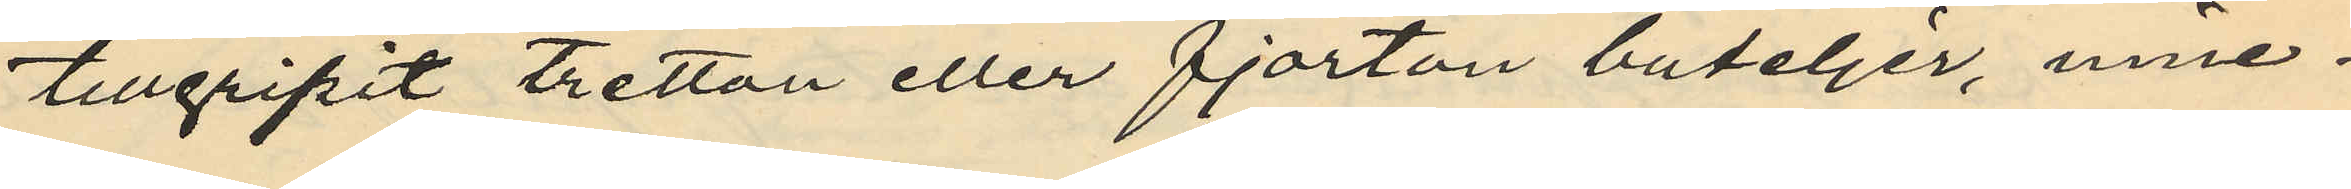tillgripit tretton eller fjorton buteljer, inne¬
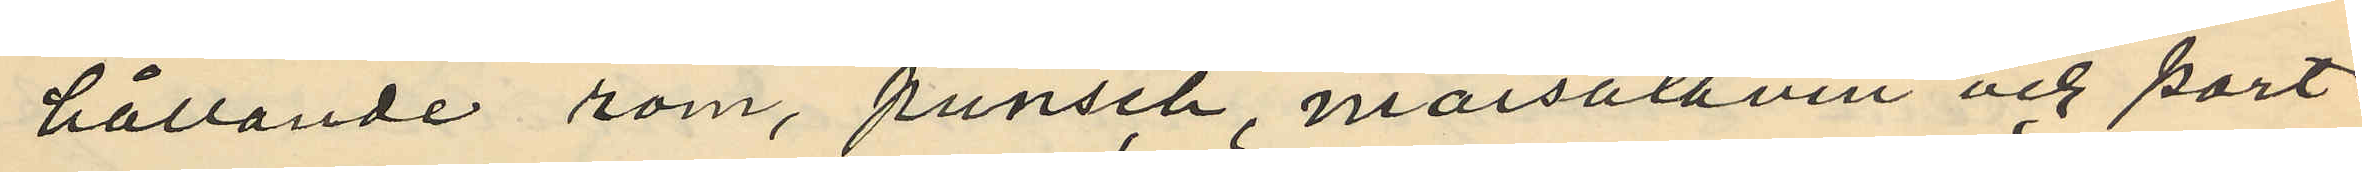hållande rom, punsch, marsalavin och port¬
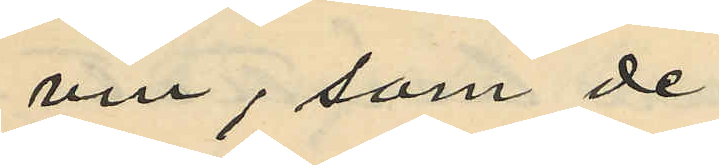vin, som de
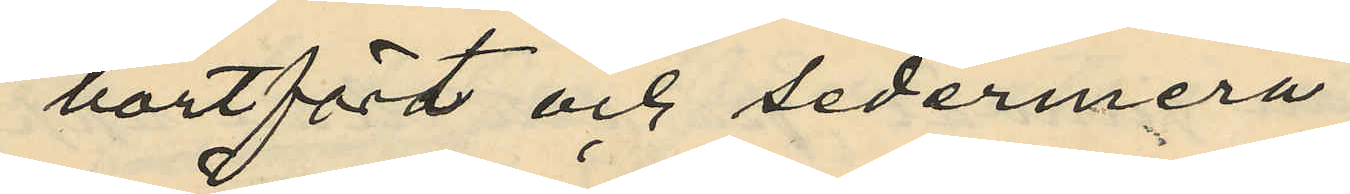bortfört och sedermera
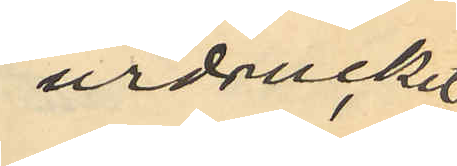urdruckit
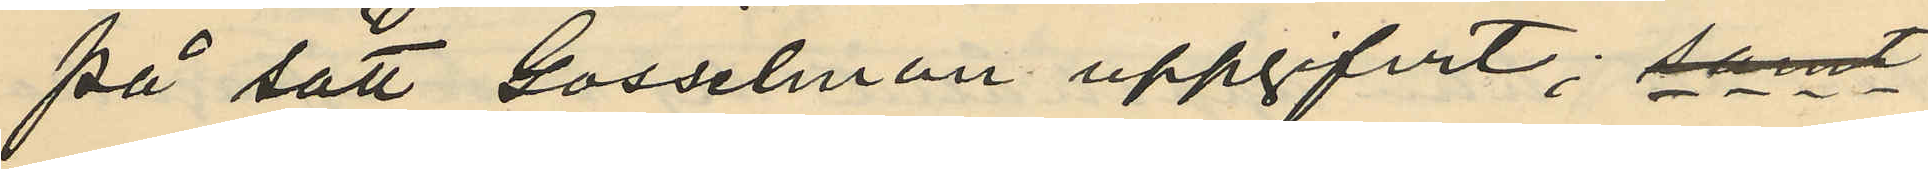på sätt Gosselman uppgifvit; samt
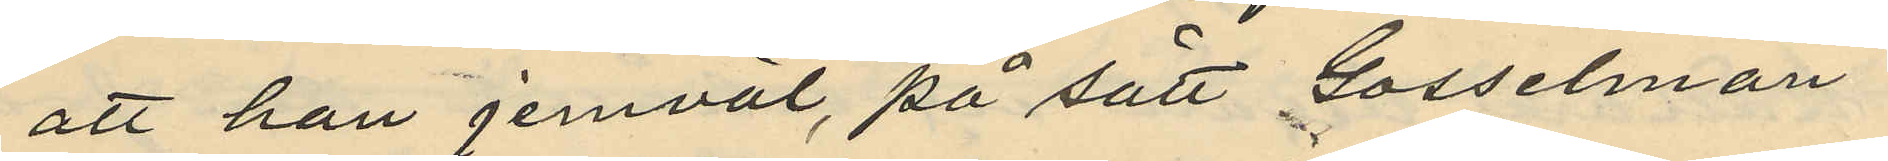att han jemväl, på sätt Gosselman
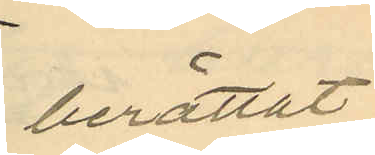berättat
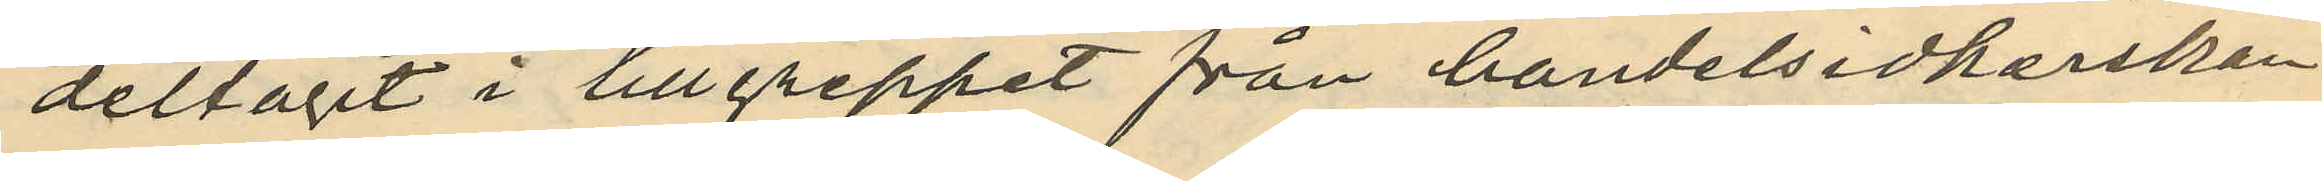deltagit i tillgreppet från handelsidkarskan
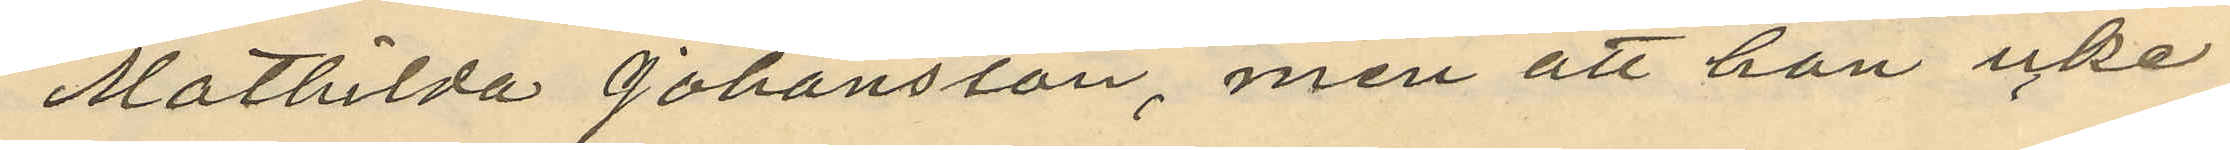Mathilda Johansson, men att han icke
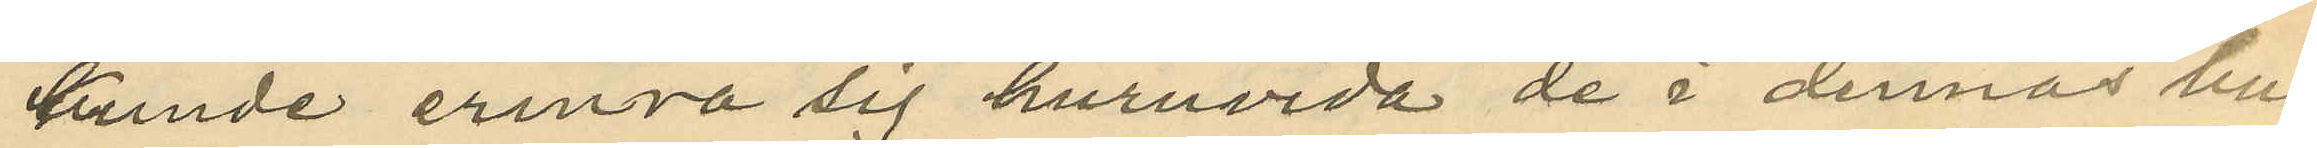kunde erinra sig huruvida de i dennas bu¬
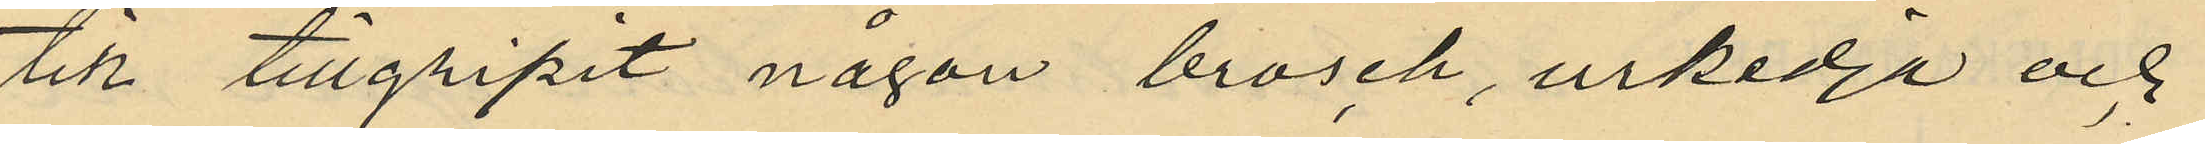tik tillgripit någon brosch, urkedja och
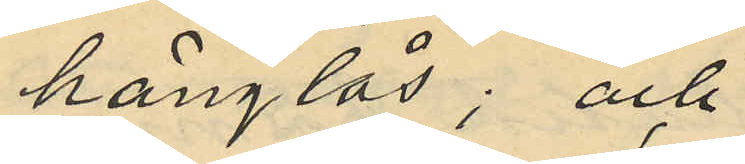hänglås; och
